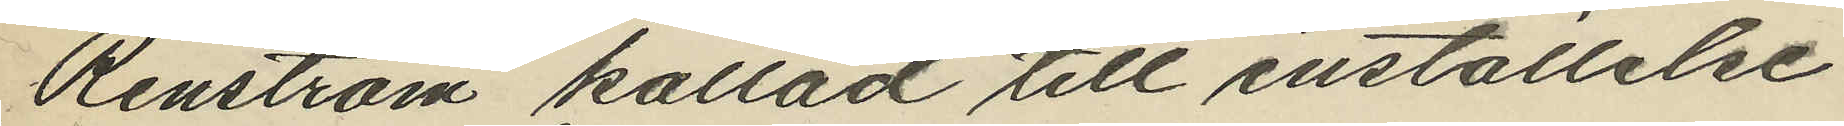Renström kallad till inställelse
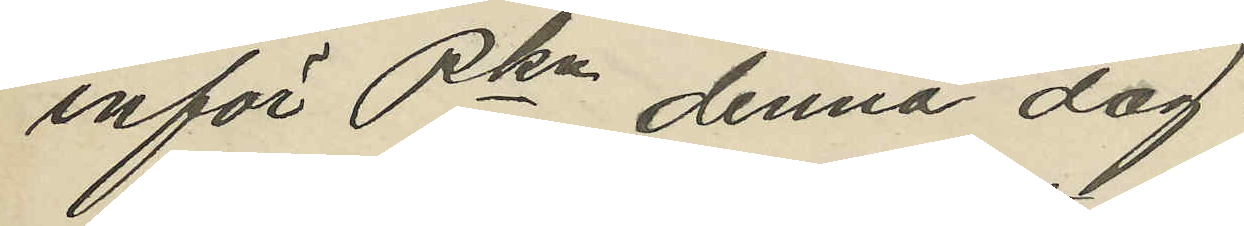inför Pkn denna dag.
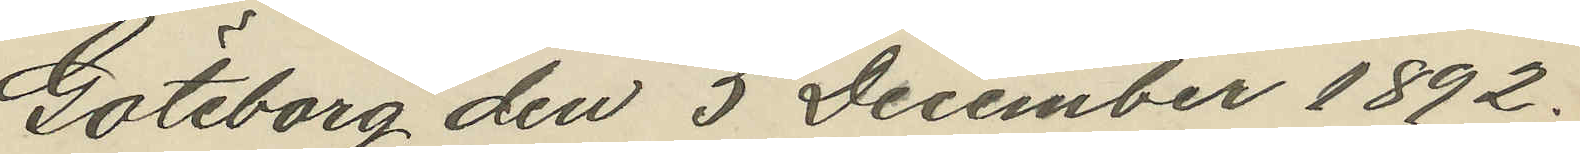Göteborg den 5 December 1892.
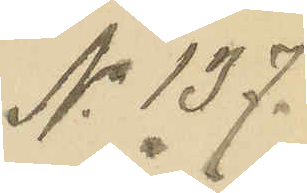No 137.
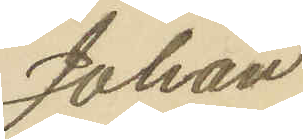Johan
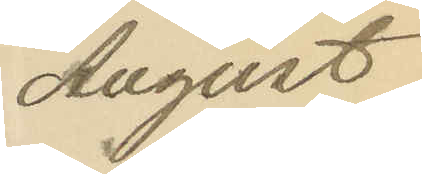August
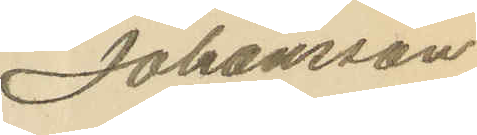Johansson.
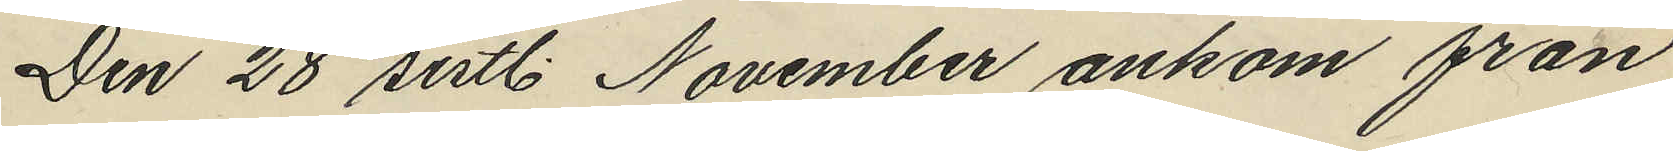Den 28 sistl. November ankom från
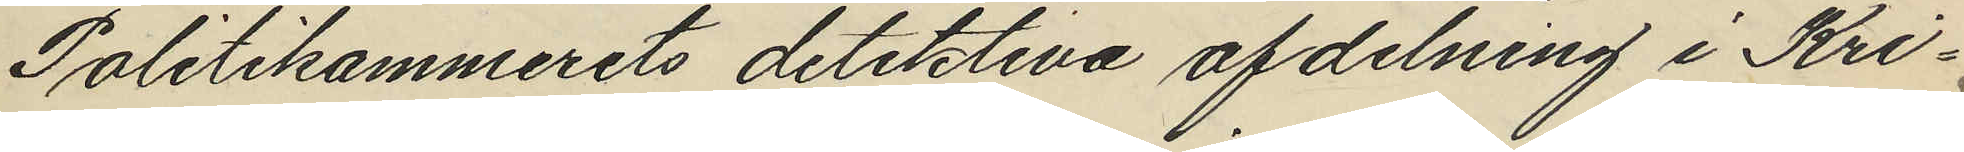Politikammerets detektiva afdelning i Kri¬
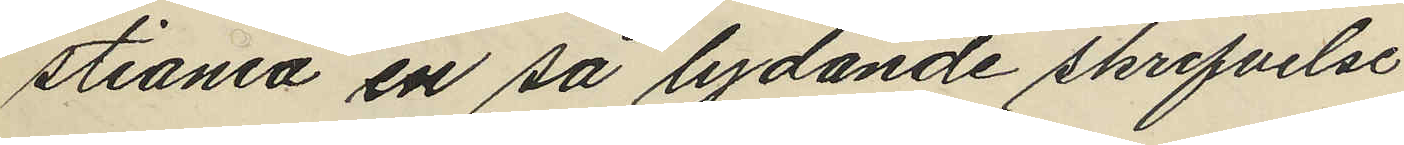stiania en så lydande skrifvelse.
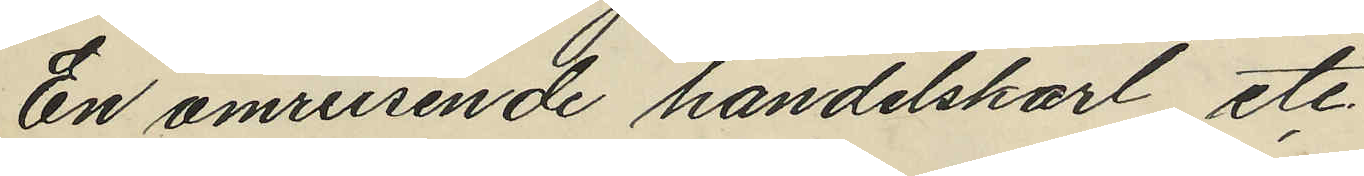En omreisende handelskarl etc.
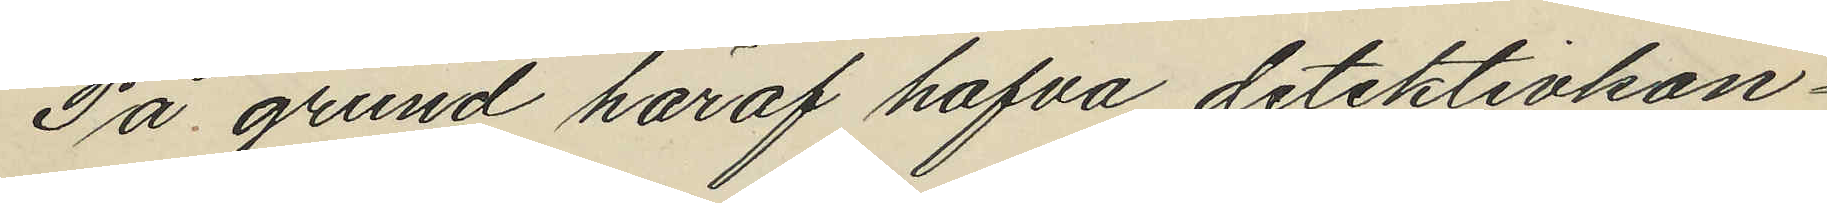På grund häraf hafva detektivkon¬
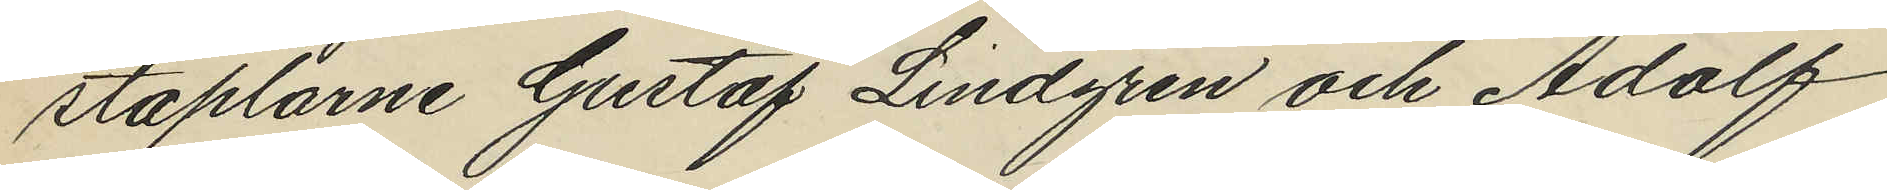staplarne Gustaf Lindgren och Adolf
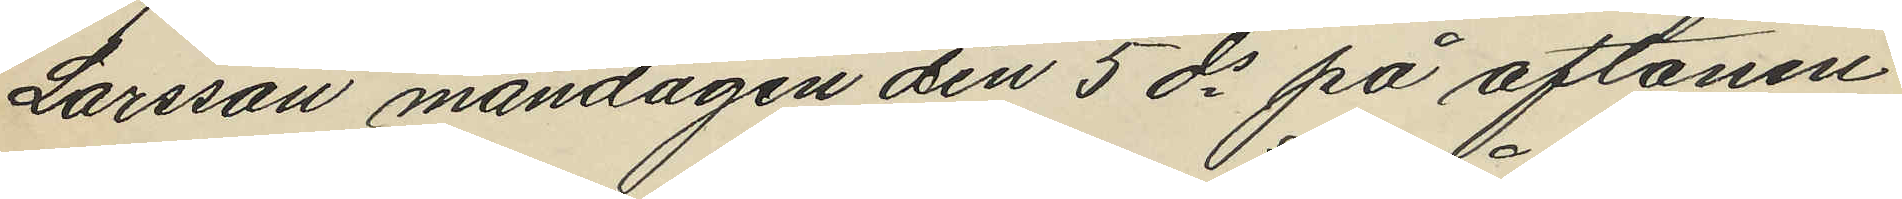Larsson måndagen den 5 ds på aftonen
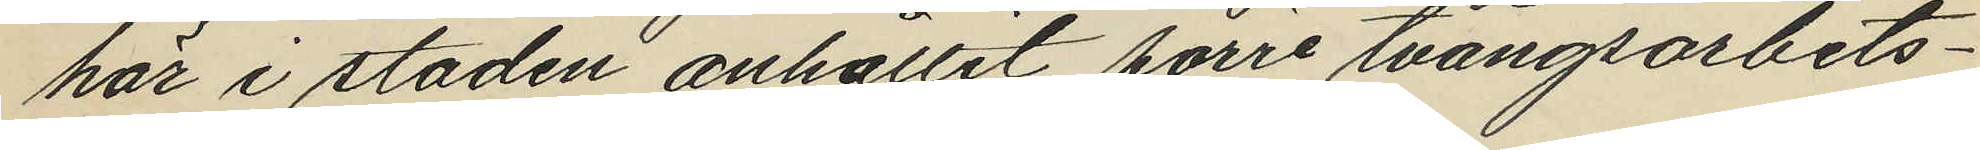här i staden anhållit förre tvångsarbets¬
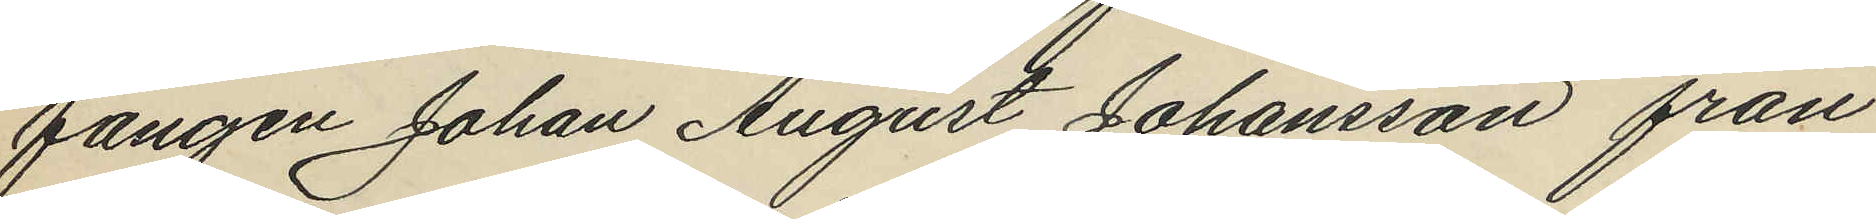fången Johan August Johansson från
